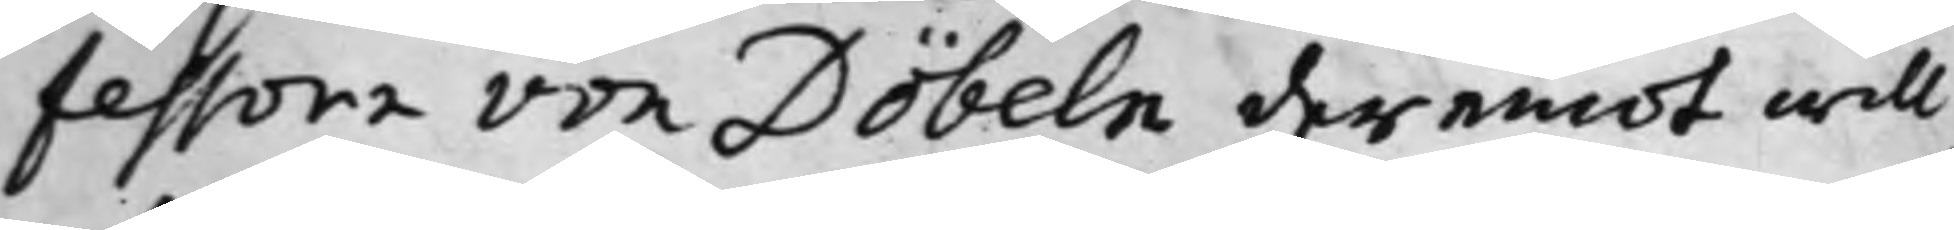fessoren von Döbeln deremot will
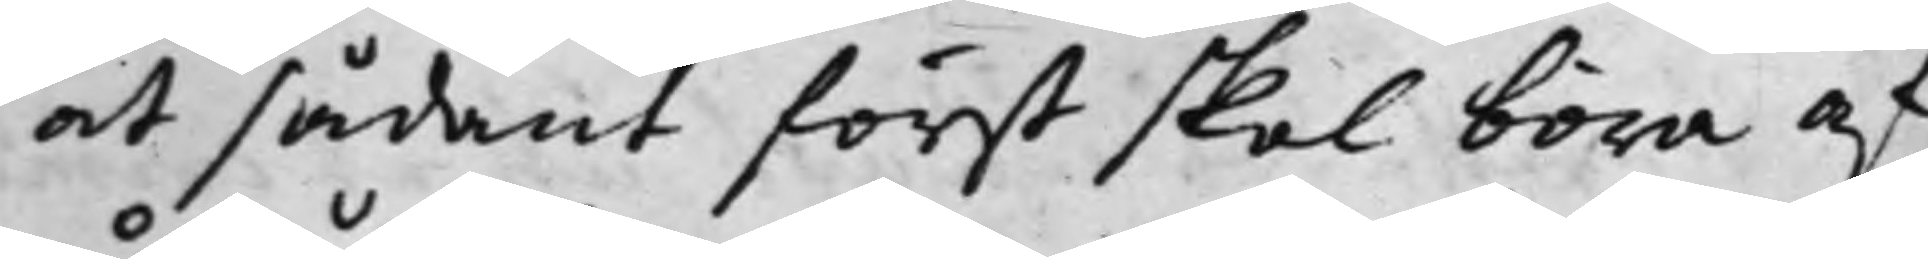at sådant först skal böra af¬
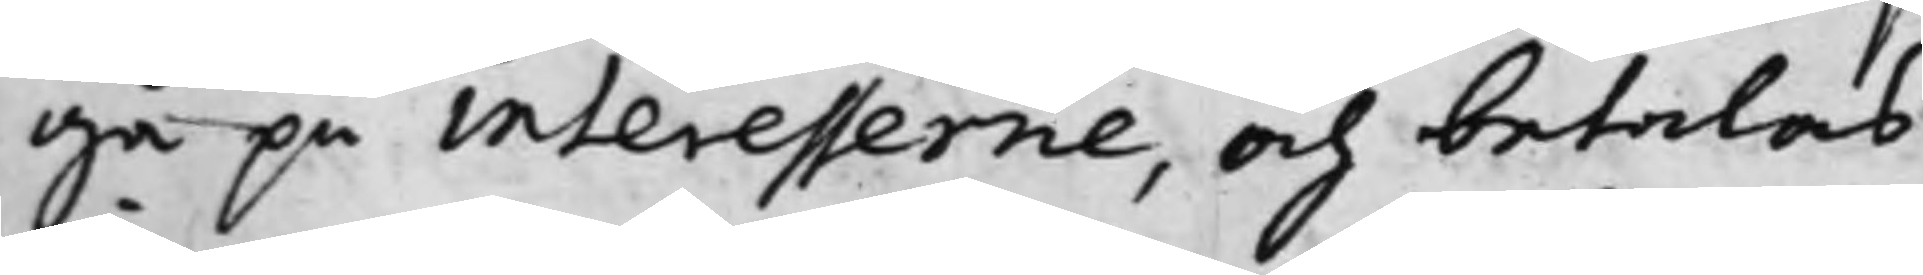gå på interesserne, och betalas
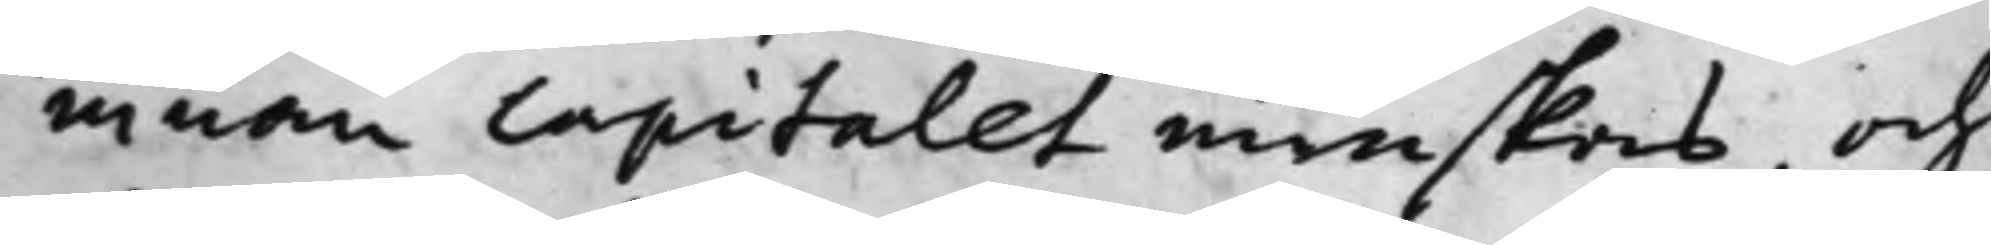innan Capitalet minskas, och
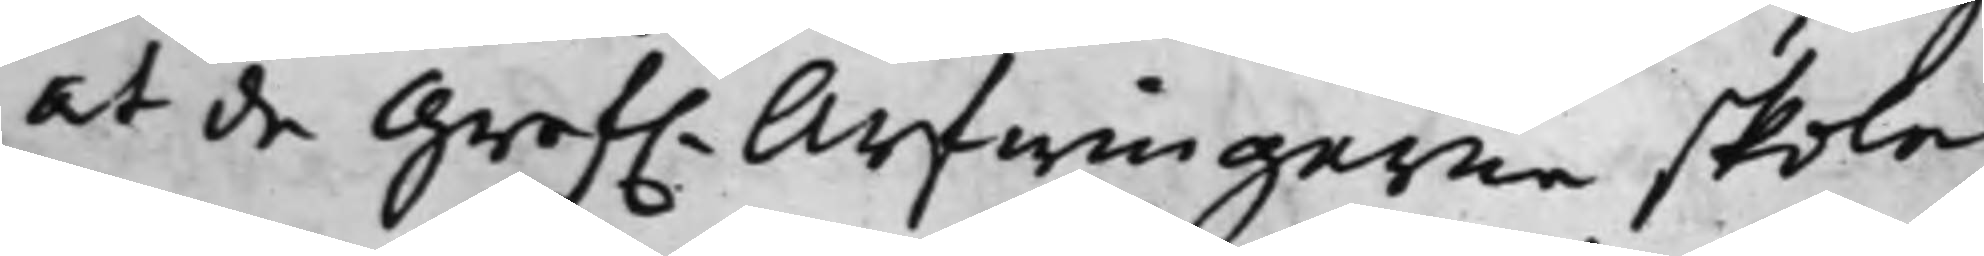at de Gref. Arfwingarne skola
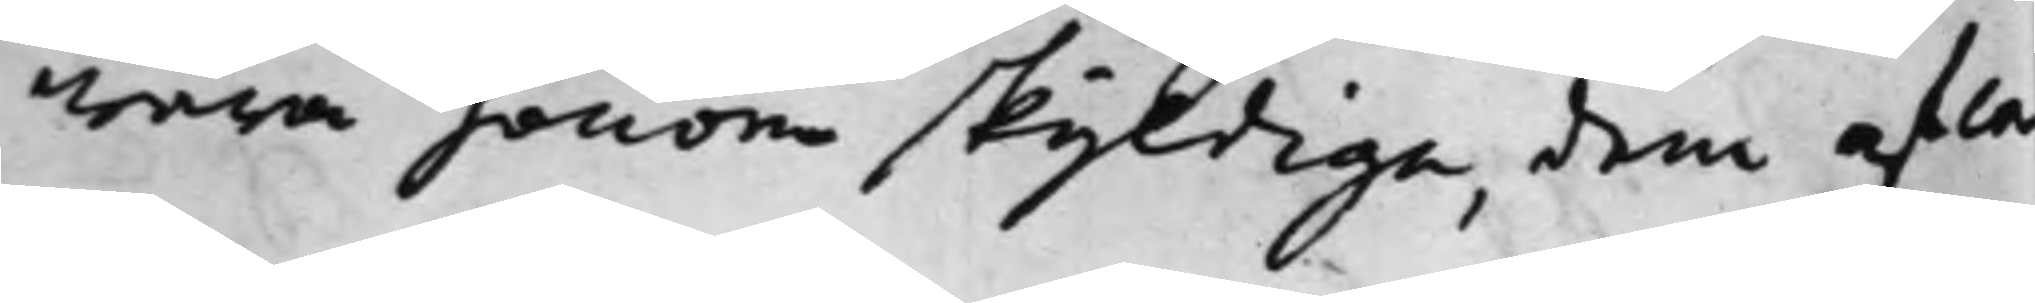wara honom skyldiga, dem af Ca¬
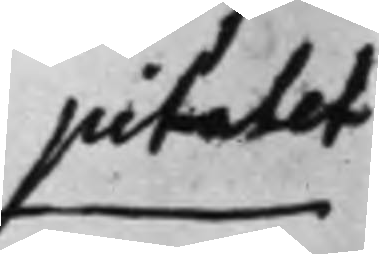pitalet
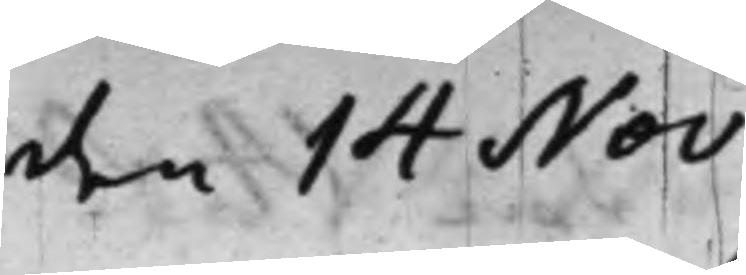den 14 Nov
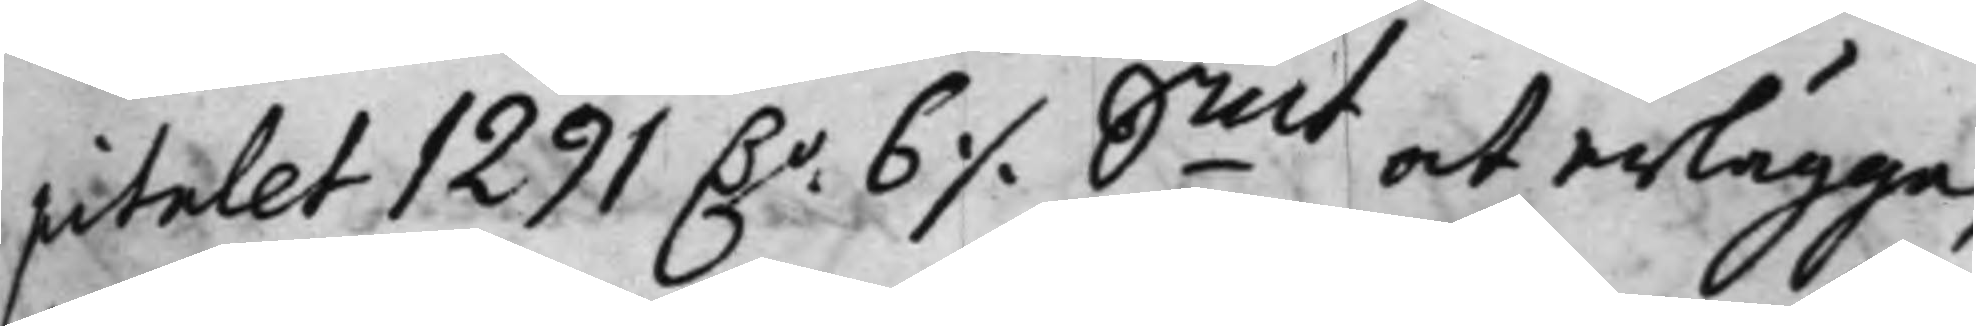pitalet 1291 D.r 6 ./. Smt at erlägga,
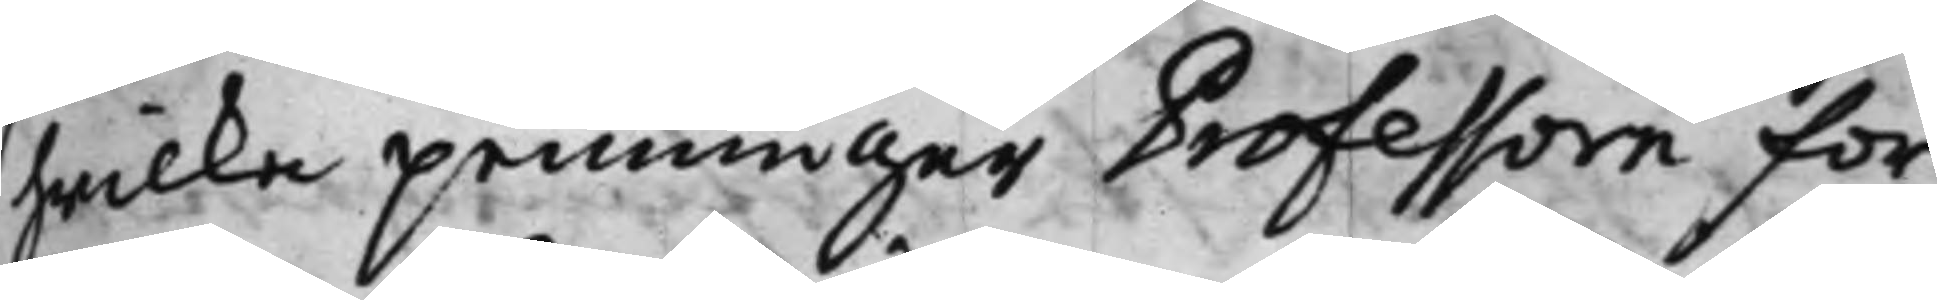hwilka penningar Professorn for¬
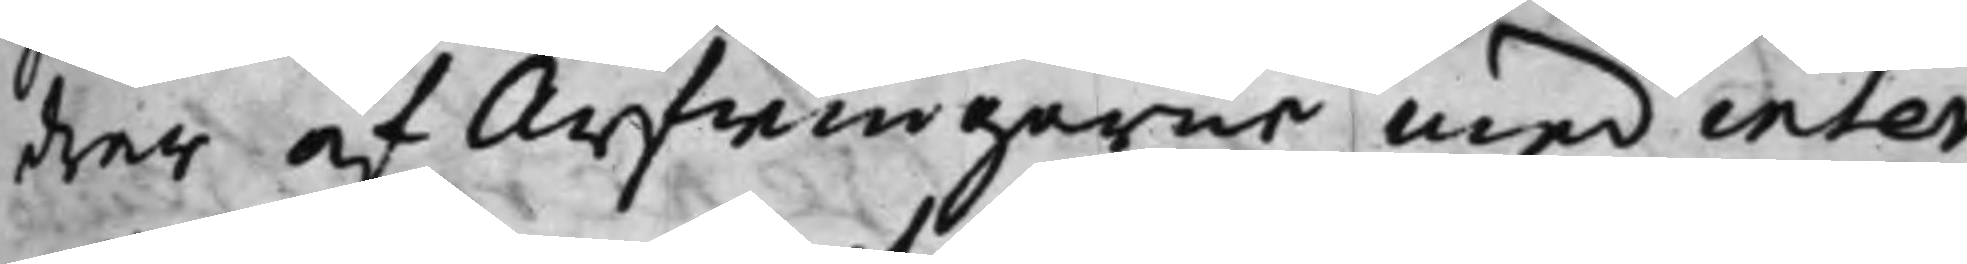drar af Arfwingarne med inter¬
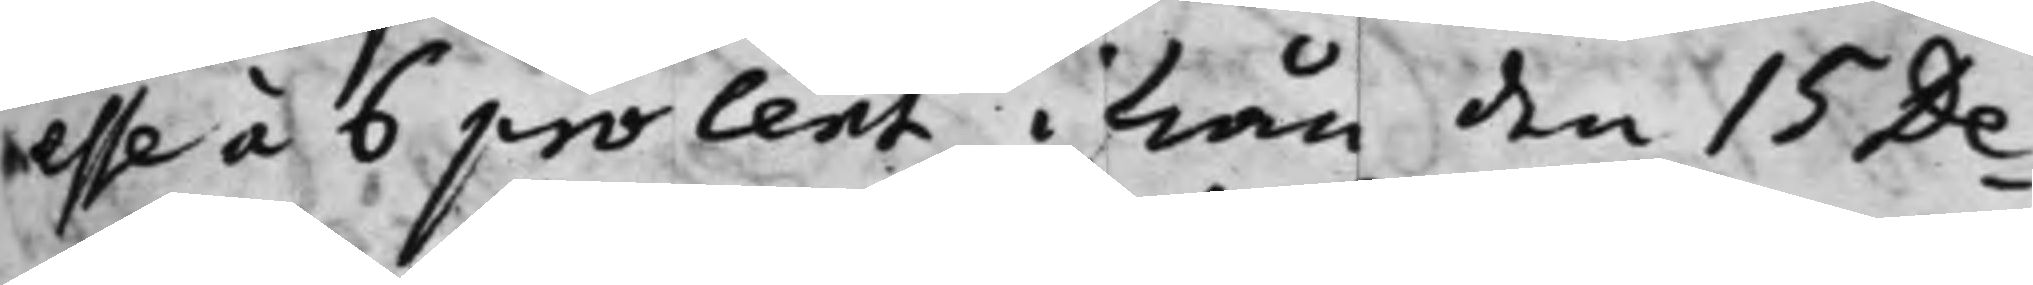esse á 6 procent ifrån den 15 De¬
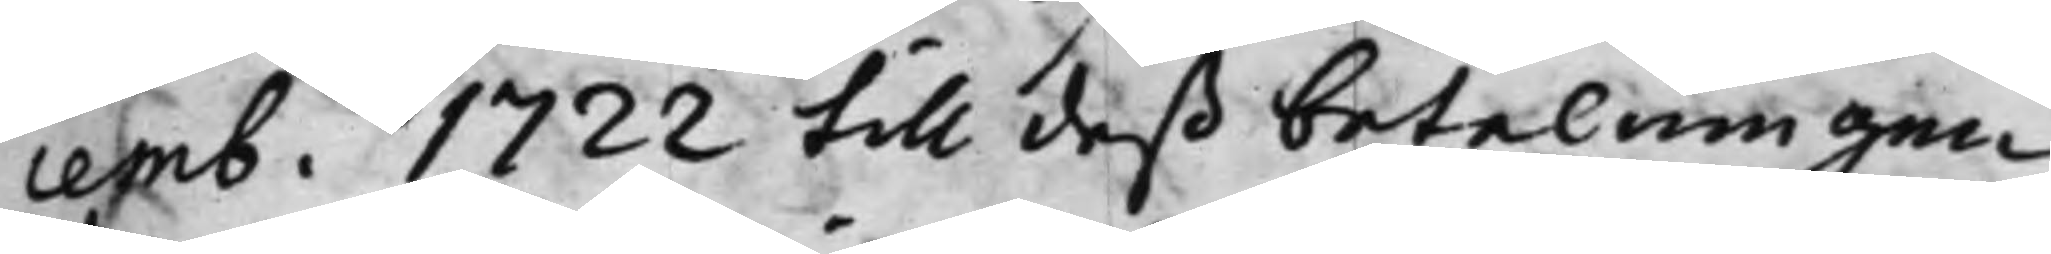cemb. 1722 till deß betalningen
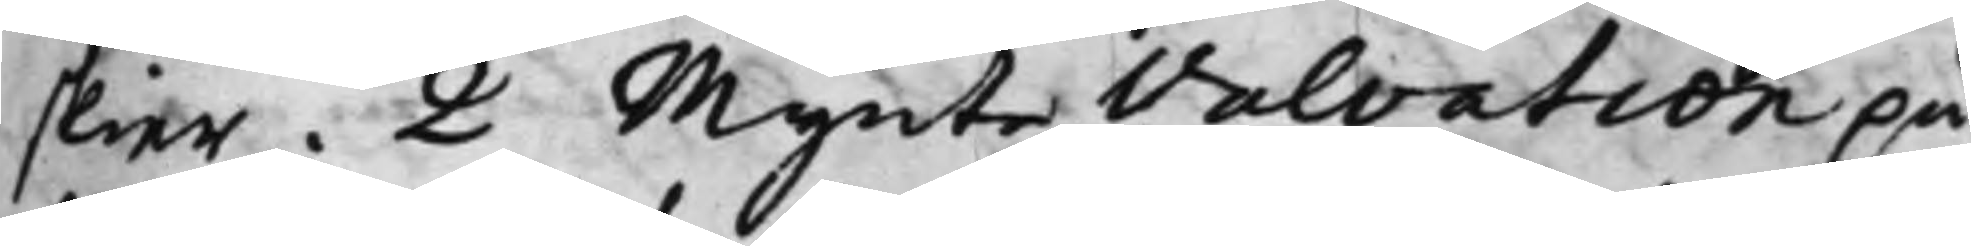skier. 2 Mynte Valvation på
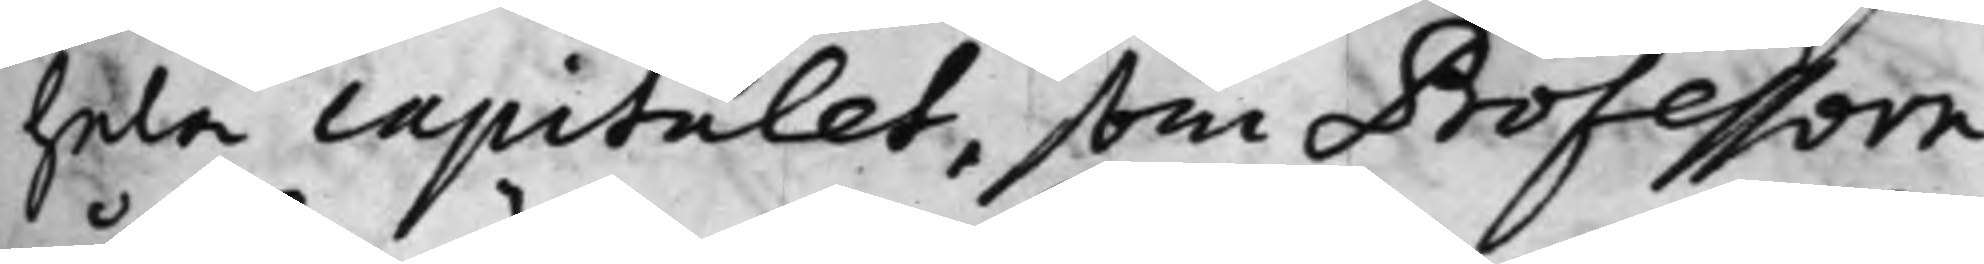hela capitalet, som Professorn
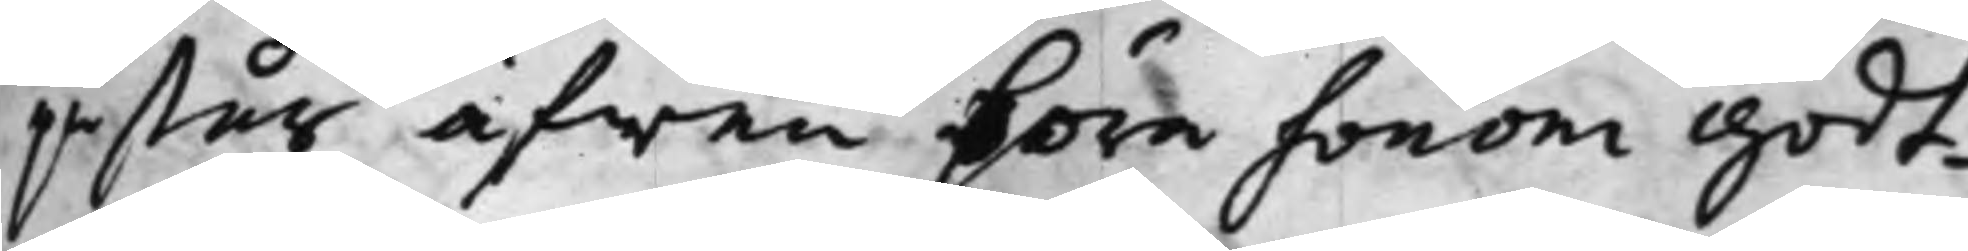påstår äfwen böra honom godt¬
